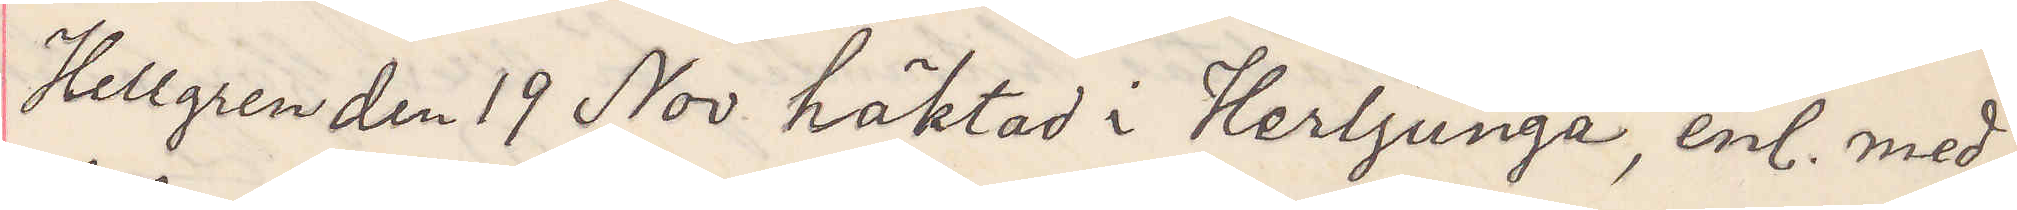Hellgren den 19 Nov häktad i Herljunga, enl. med¬
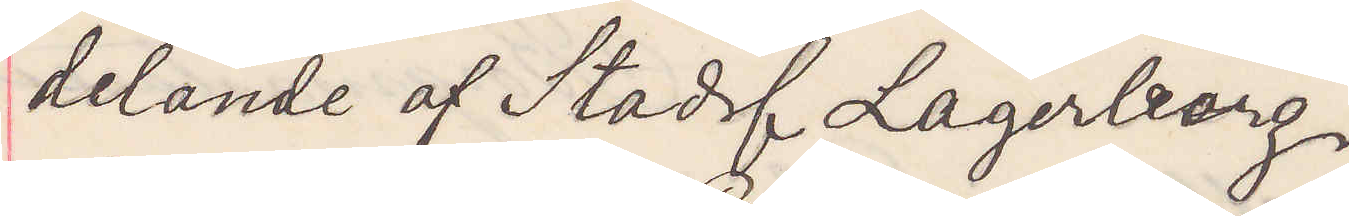delande af Stadsf Lagerberg.
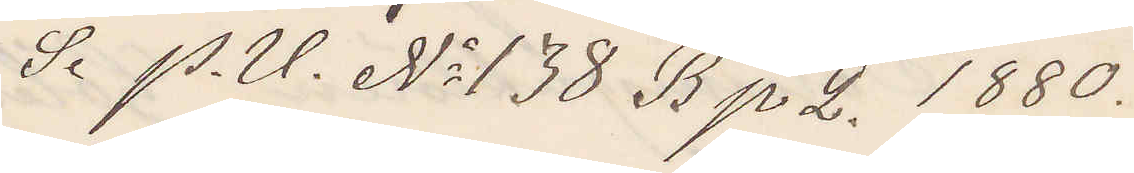Se P. U. No 138 B p 2. 1880.
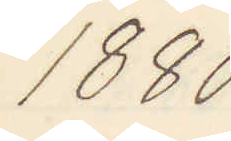1880
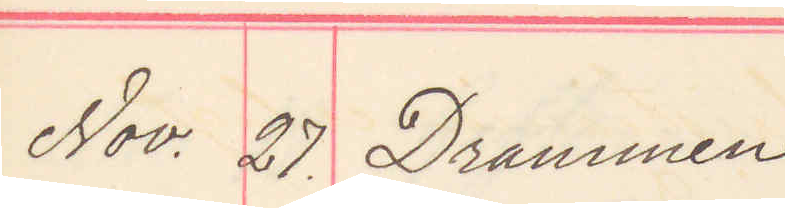Nov. 27. Drammen
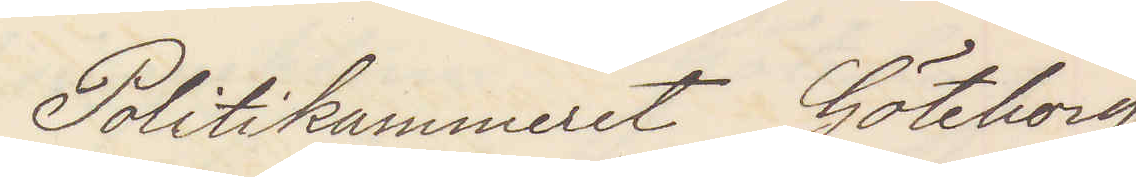Politikammeret Göteborg
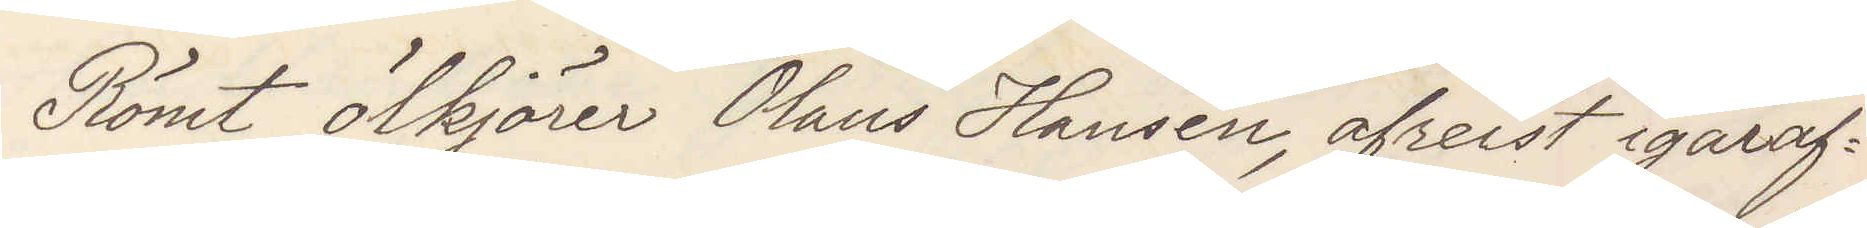Römt ölkjörer Olaus Hansen, afreist igåraf¬
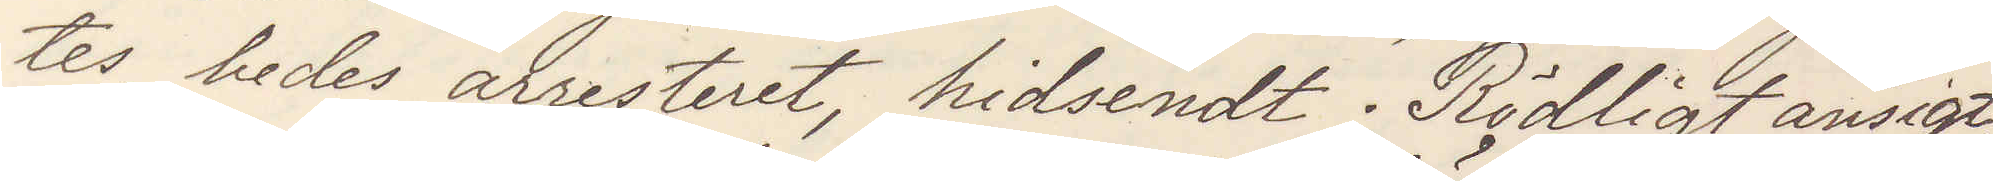tes bedes arresteret, hidsendt. Rödligt ansigt
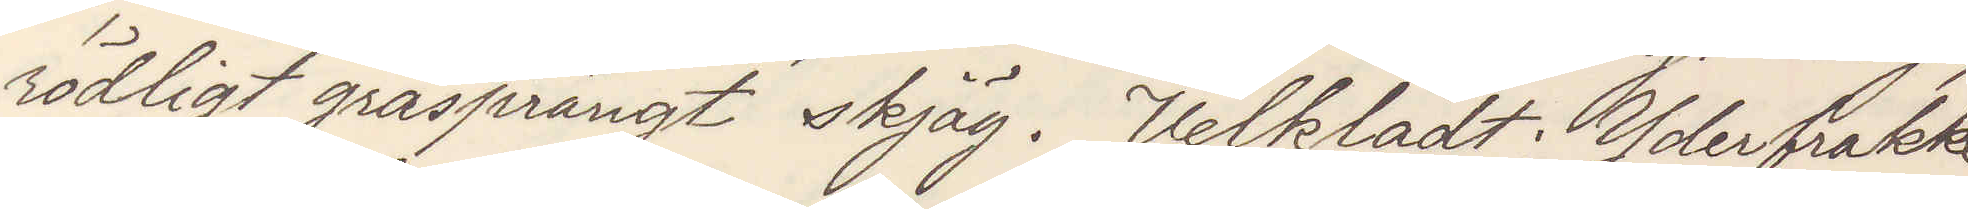rödligt gråsprängt skjäg. Velklädt Yderfrakke
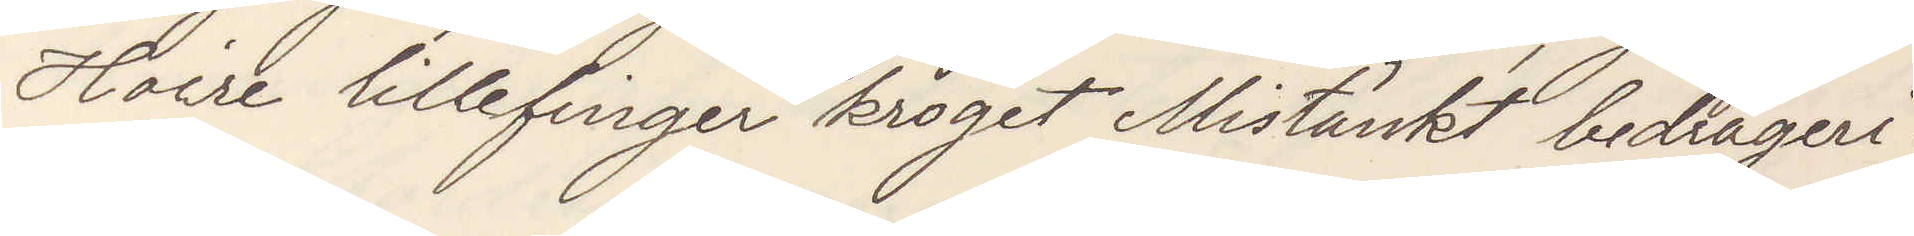Hoire lillefinger kroget Mistänkt bedrageri.
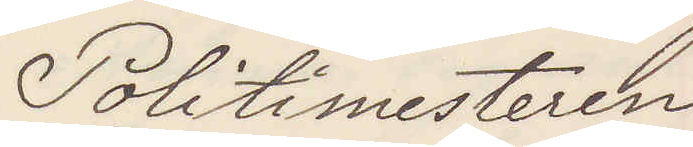Politimesteren
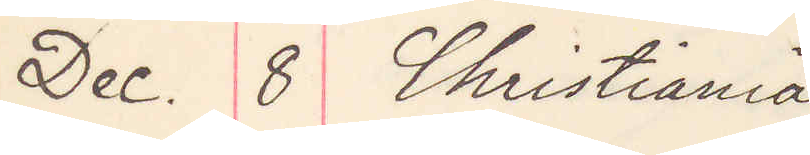Dec. 8 Christiania
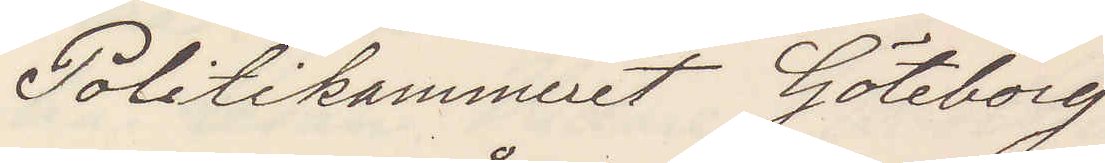Politikammeret Göteborg
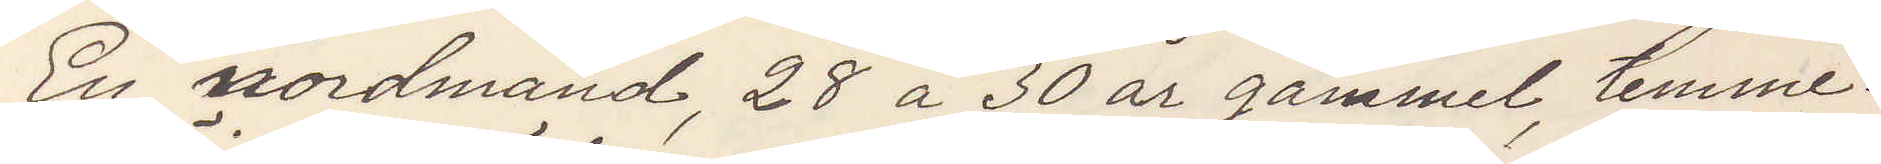En nordmand, 28 à 30 år gammal, temme¬
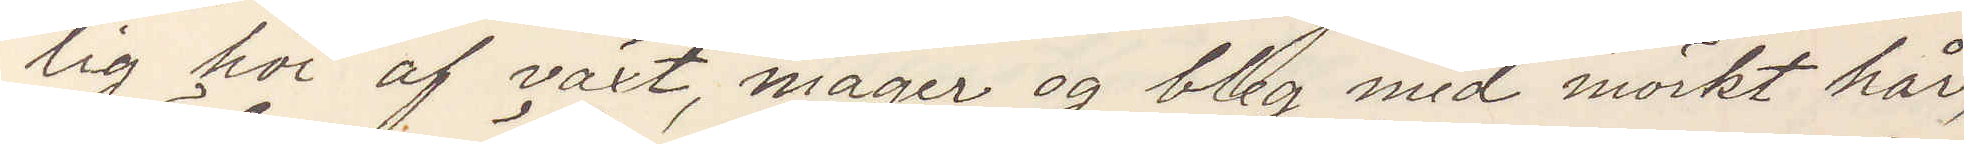lig höi af växt, mager og bleg med mörkt hår,
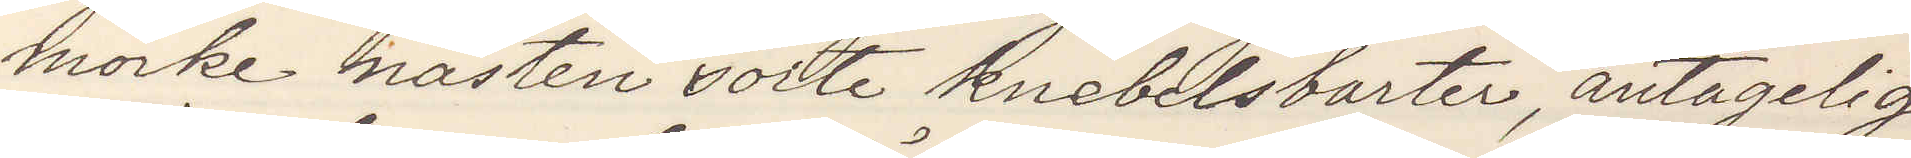mörke nästen sorte knebelsbarter, antagelig
